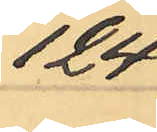124
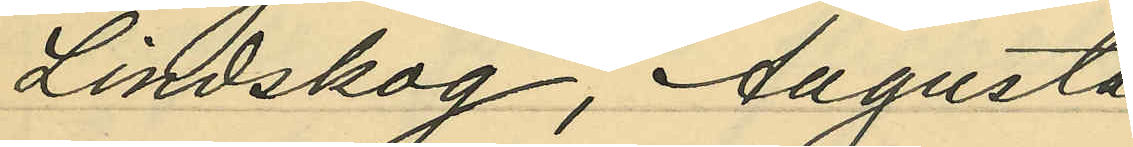Lindskog, Augusta
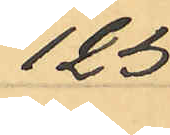125
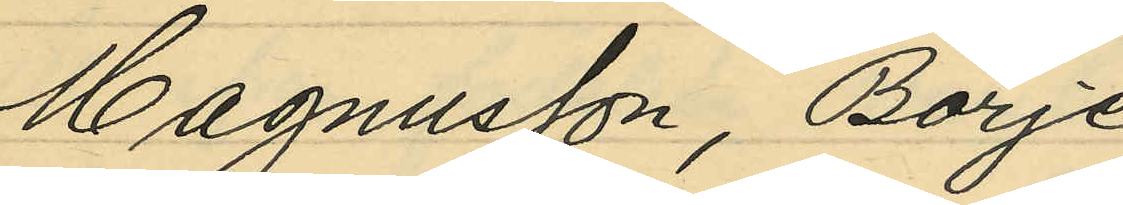Magnusson, Börje
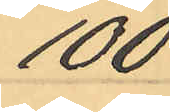100
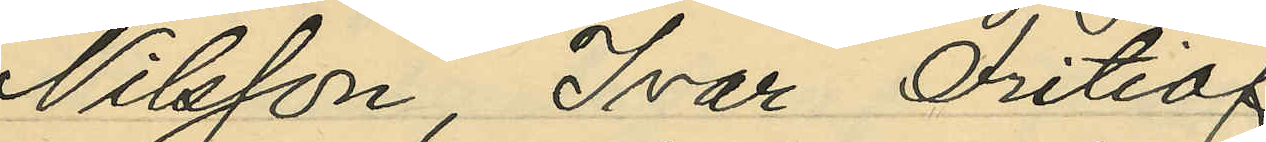Nilsson, Ivar Fritiof
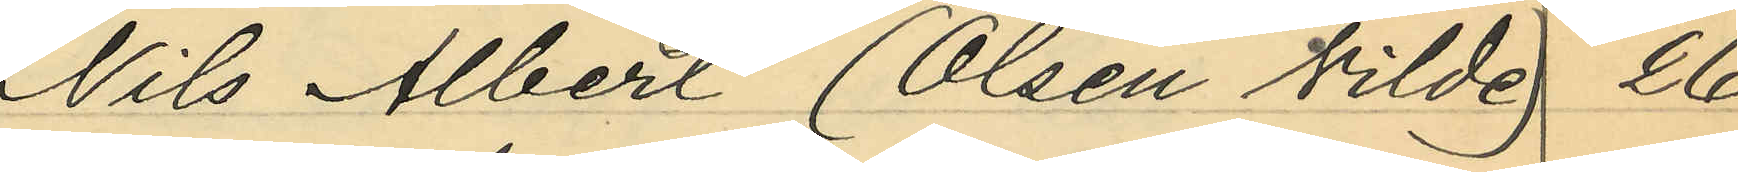Nils Albert (Olsen Vilde) 26
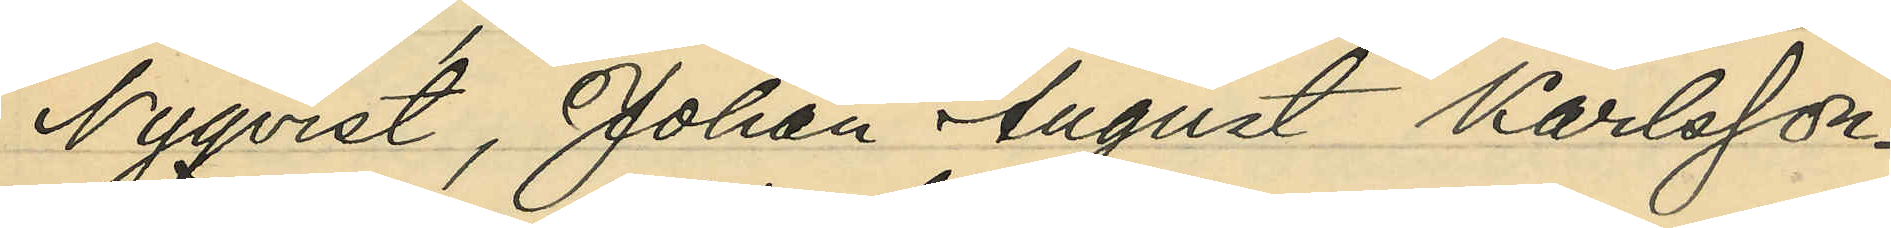Nyqvist, Johan August Karlsson
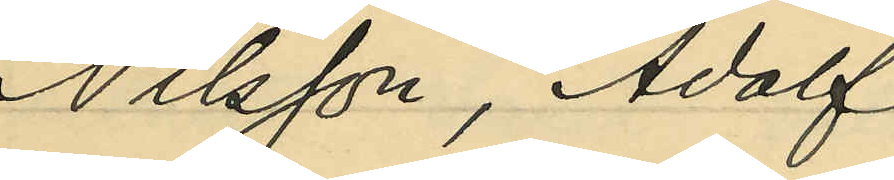Nilsson, Adolf
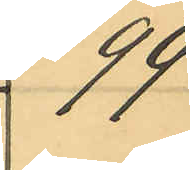99
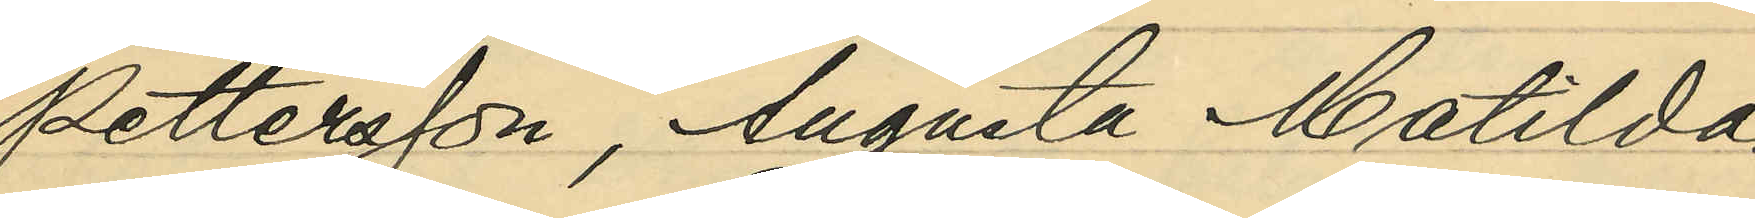Pettersson, Augusta Matilda
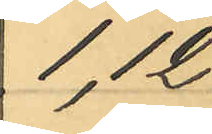1, 12
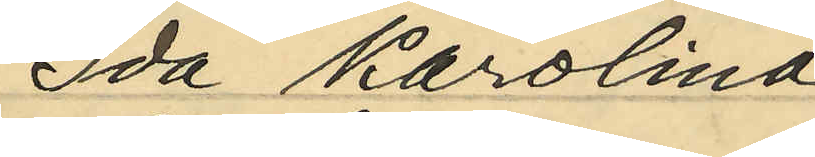Ida Karolina
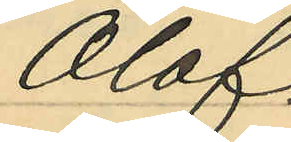Olof
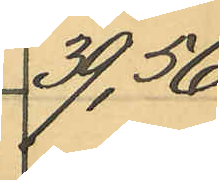39, 56
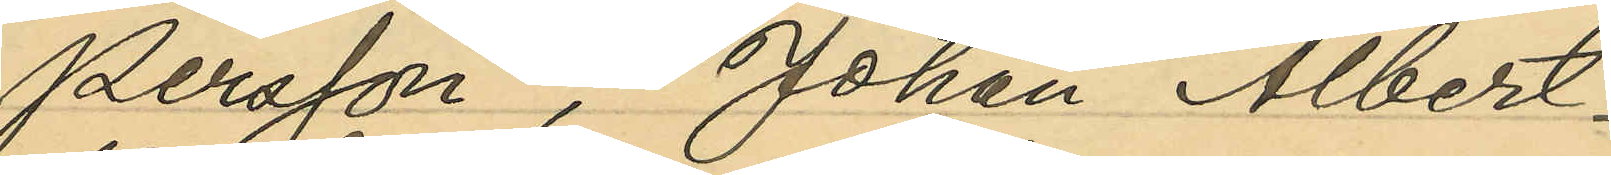Persson, Johan Albert
